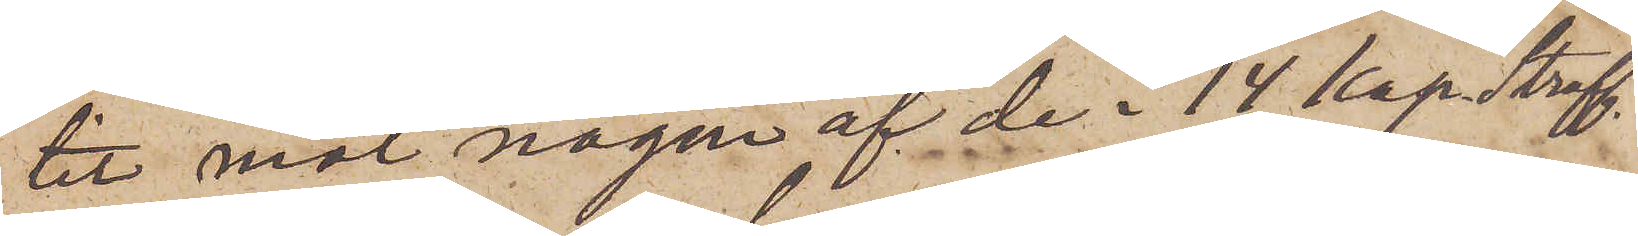tit mot någon af de i 14 kap Straff¬
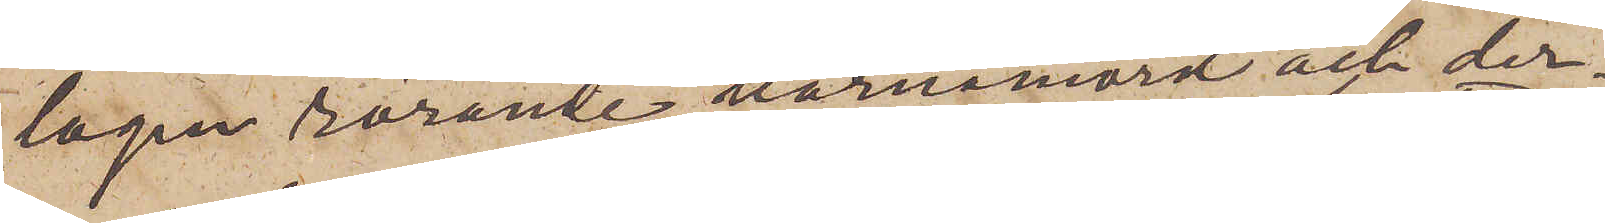lagen rörande barnamord och der¬
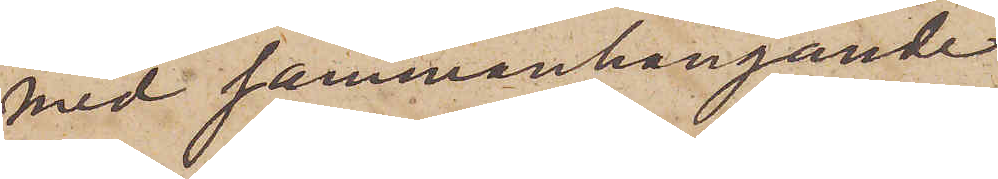med sammanhängande
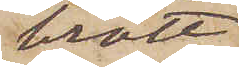brott
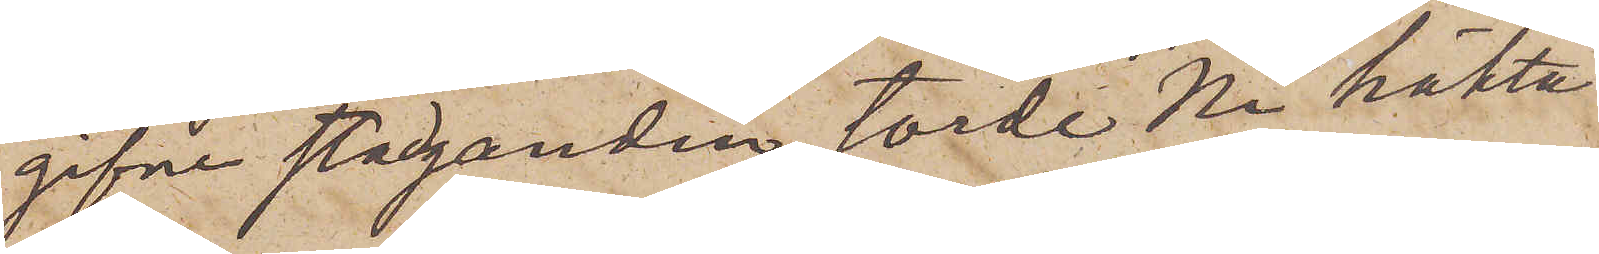gifne stadganden, torde Ni häkta
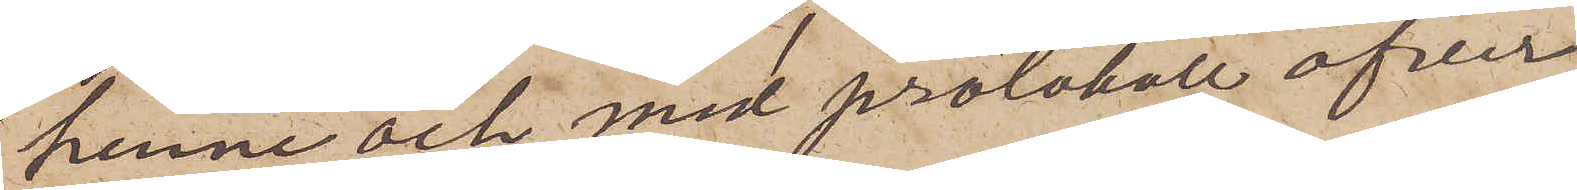henne och med protokoll öfver
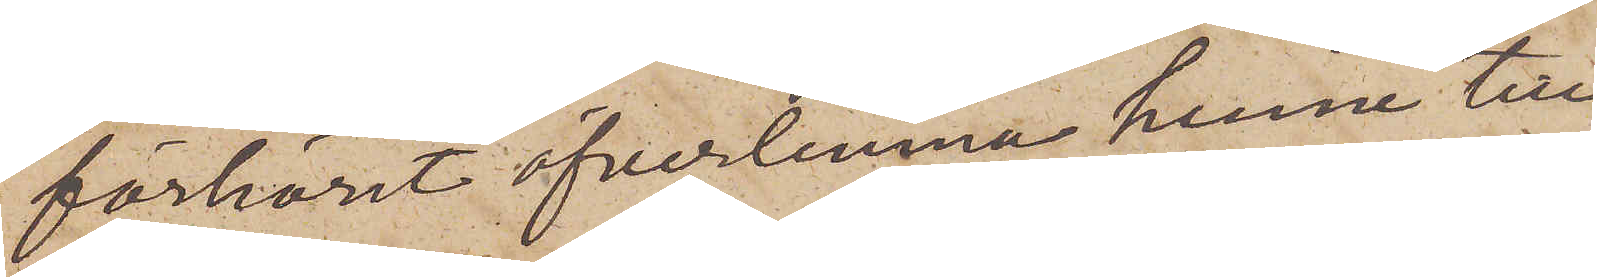förhöret öfverlemna henne till
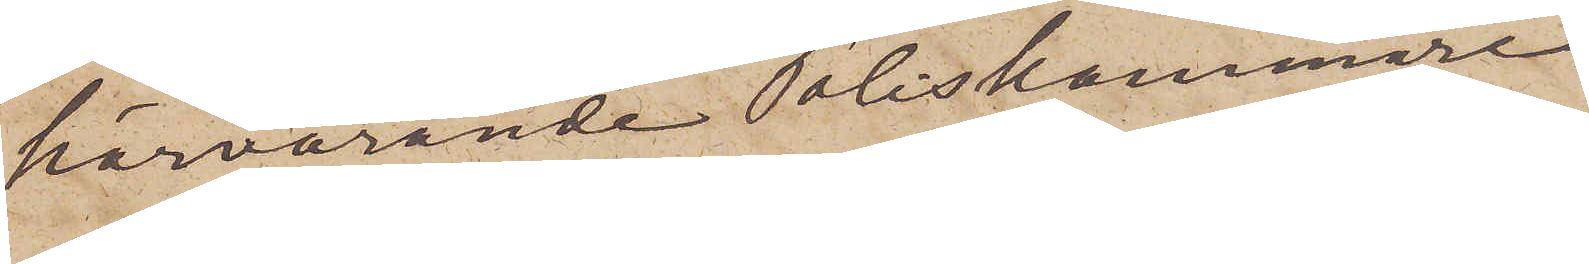härvarande Poliskammare.
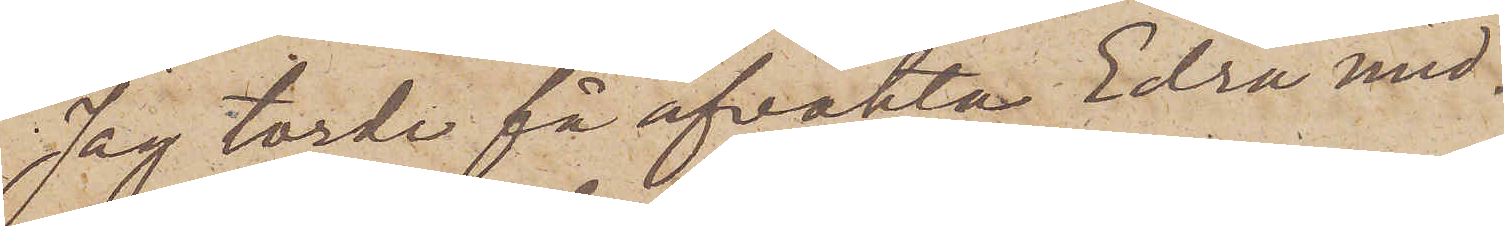Jag torde få afvakta Edra med¬
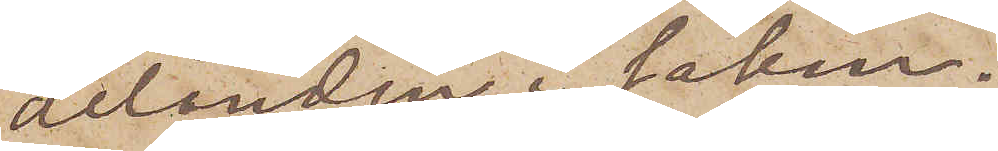delanden i saken.
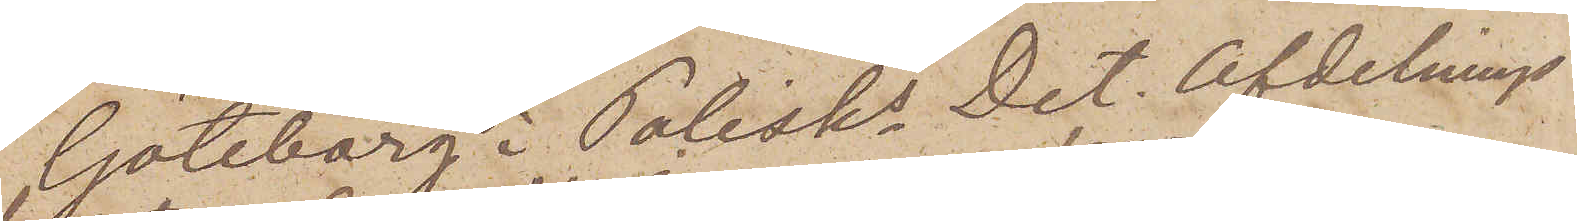Göteborg i Polisks Det. afdelnings¬
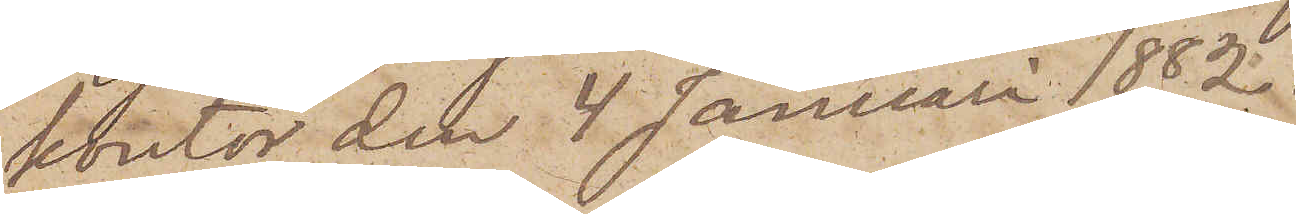kontor den 4 Januari 1882.
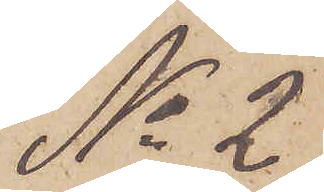No 2.
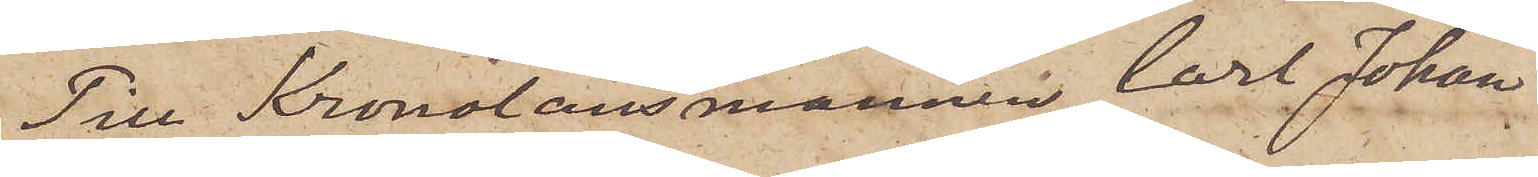Till Kronolänsmannen Carl Johan
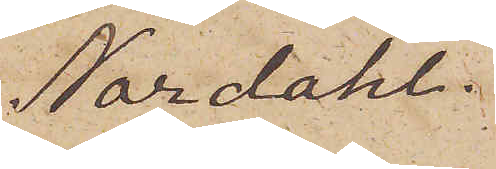Nordahl.
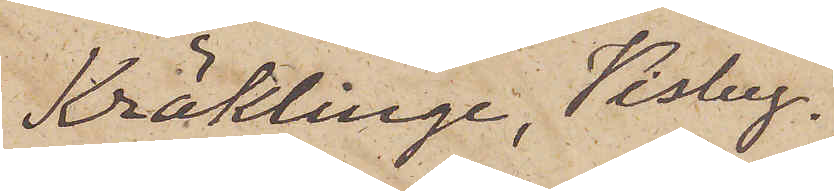Kräklinge, Visby.
